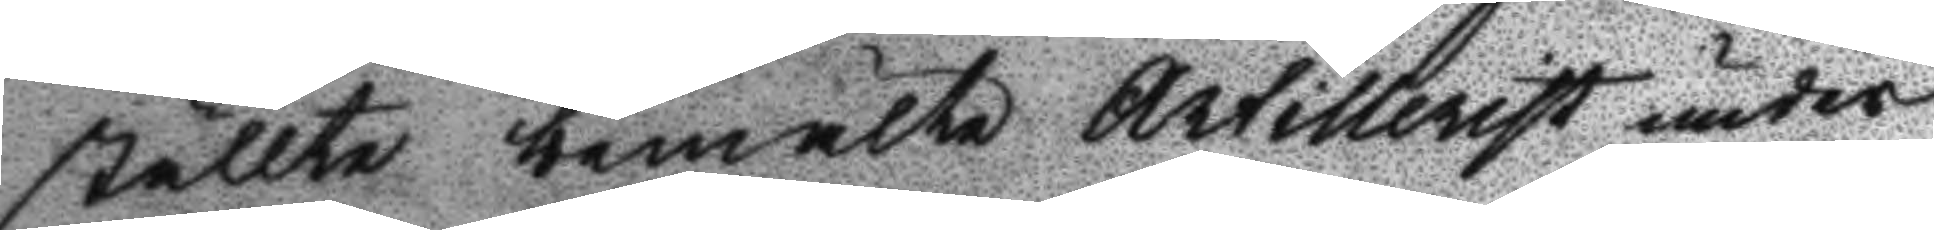ställte bemälte Artillersit under
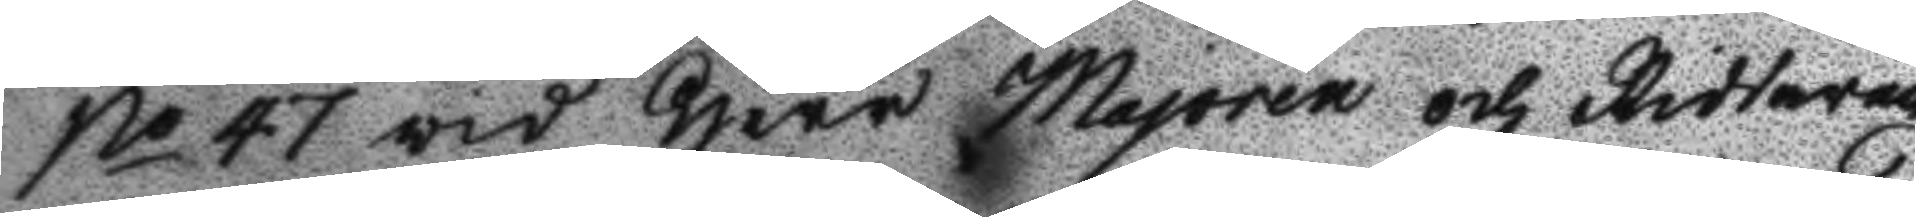No 47 vid Herr Majoren och Riddaren
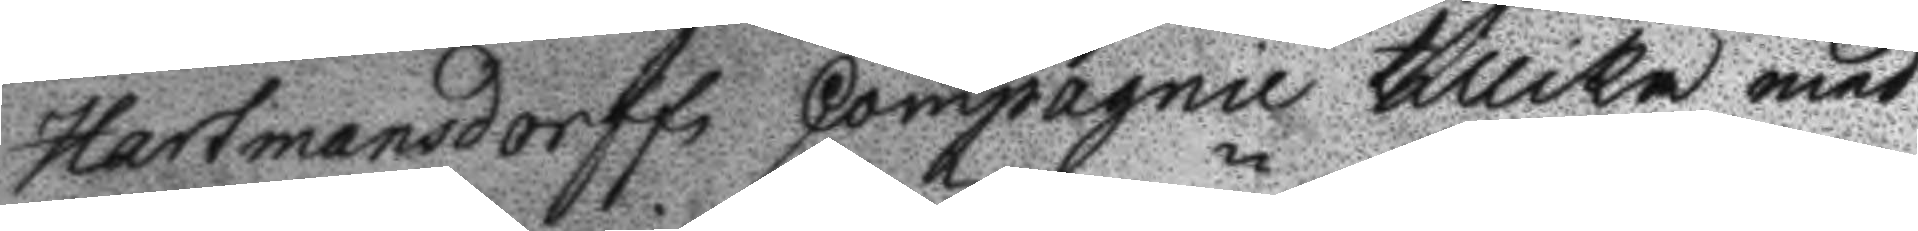Hartmansdorffs Compagnie tillika med
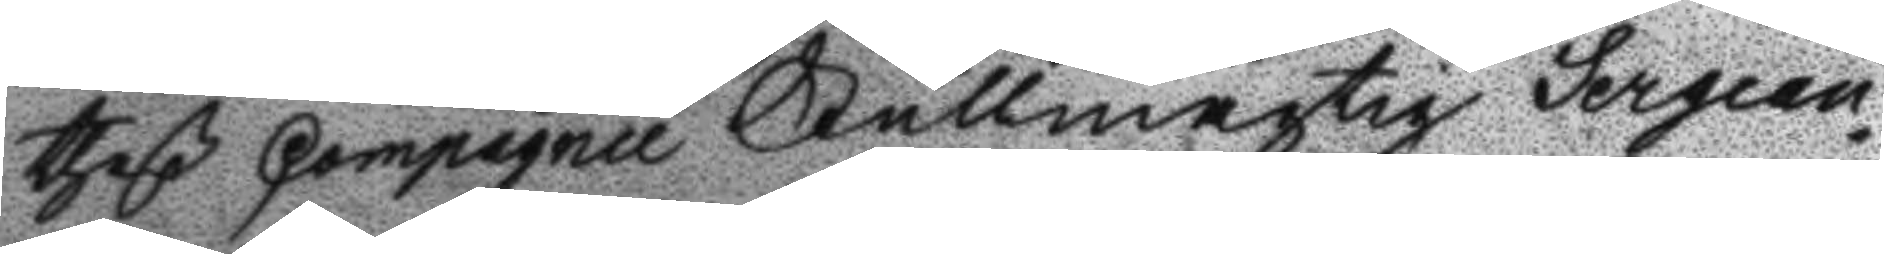theß Compagnie Fullmägtig Sergean¬
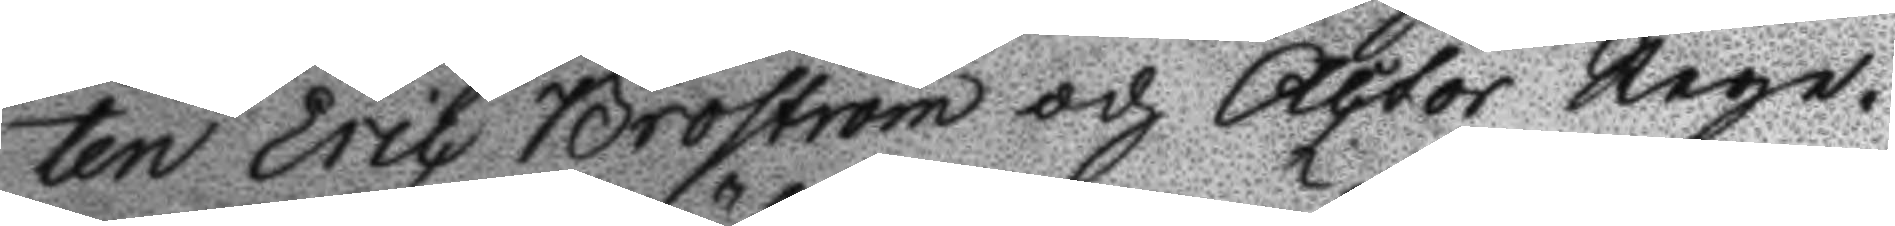ten Eric Broström och Actor Rege¬
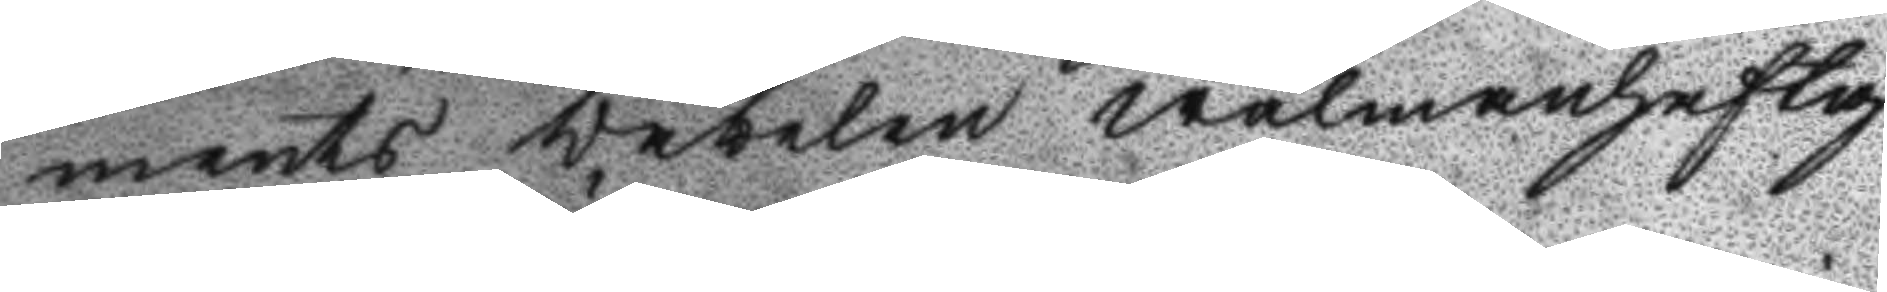ments Väbelen wälmanhaftig
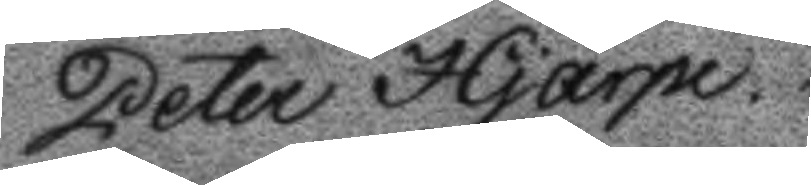Peter Hjärpe.
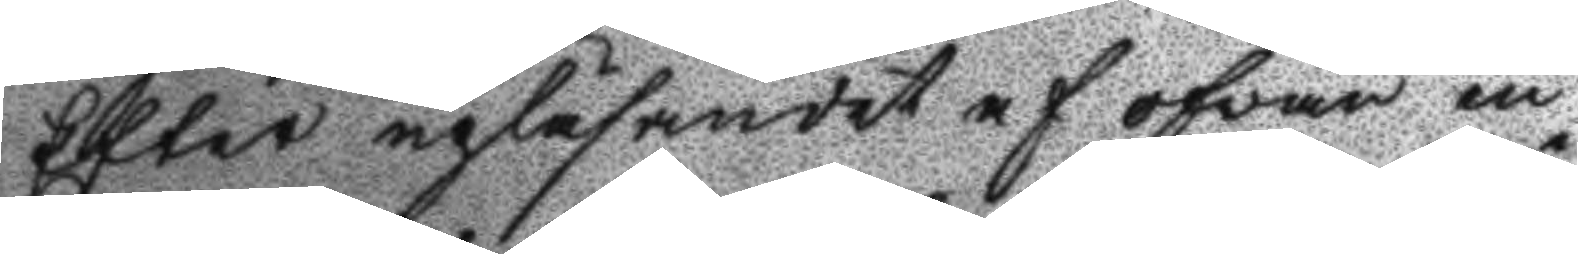Efter upläsandet af ofvan in¬
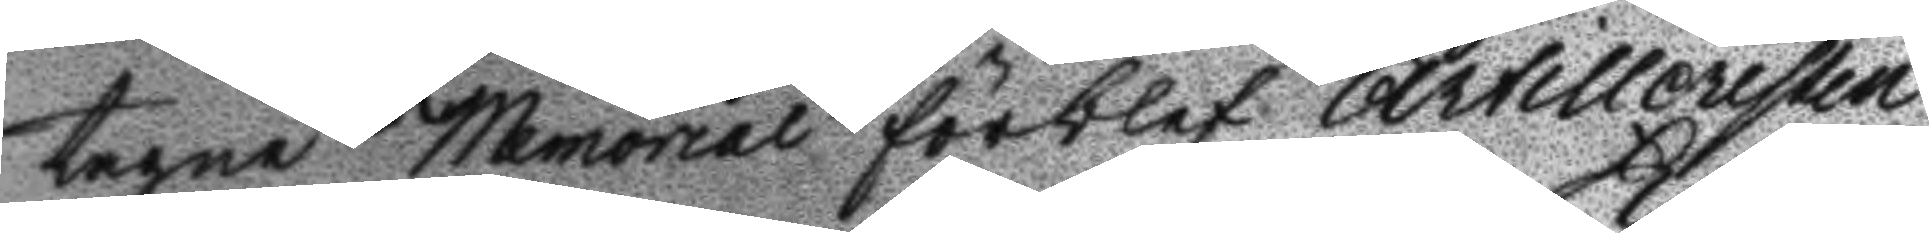tagne Memorial förblef Artilleristen
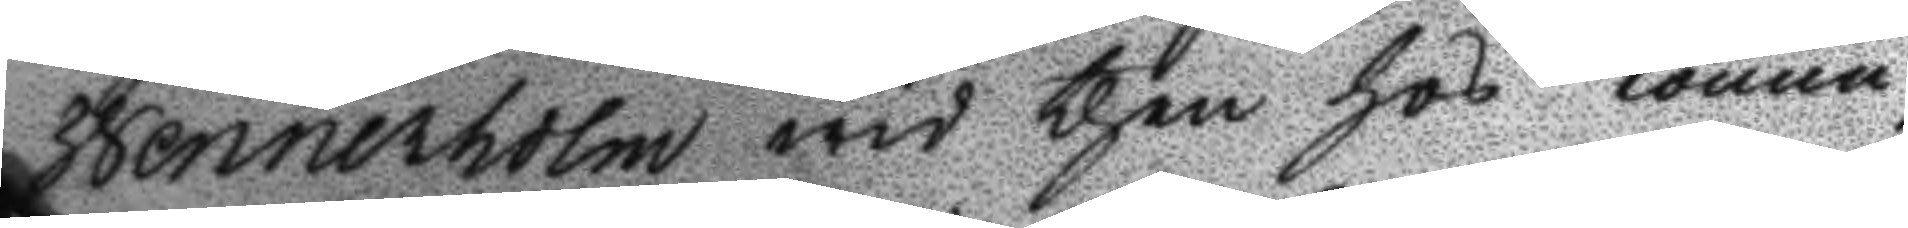Wennerholm wid then hos Konun¬
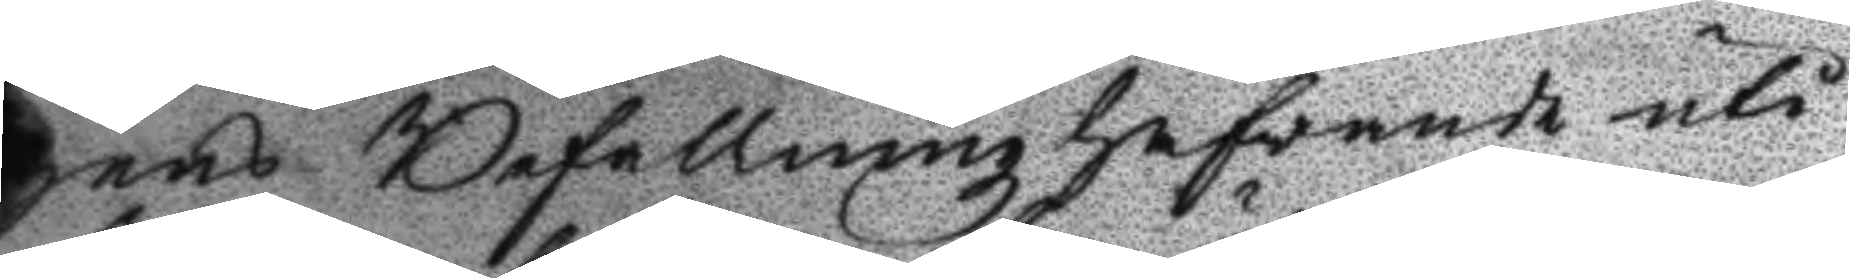gens Befallningzhafvande uti
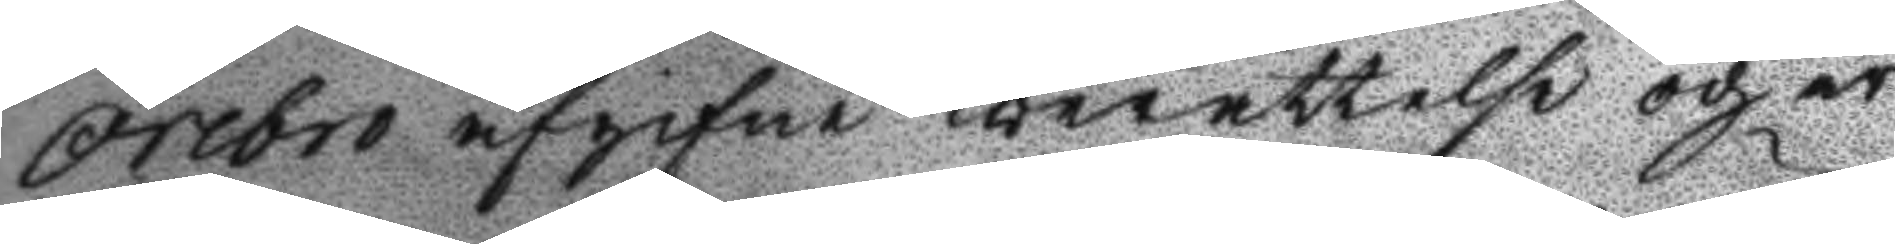Örebro afgifne berättelse och är
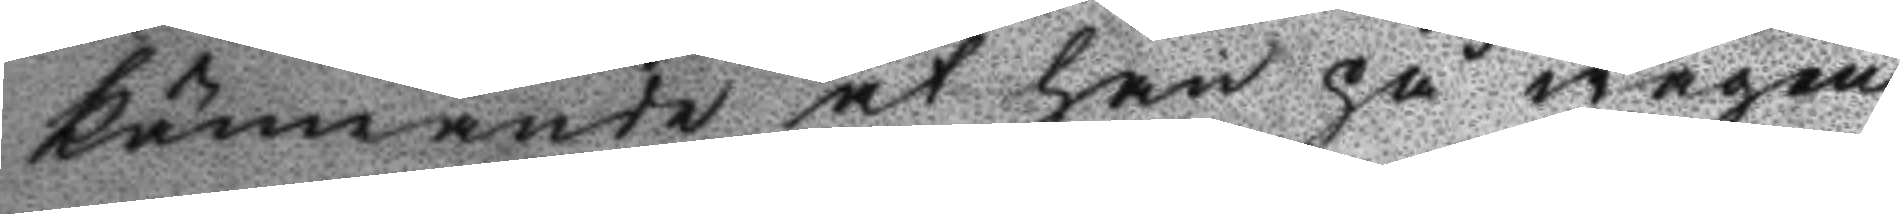kännande at han på wägen
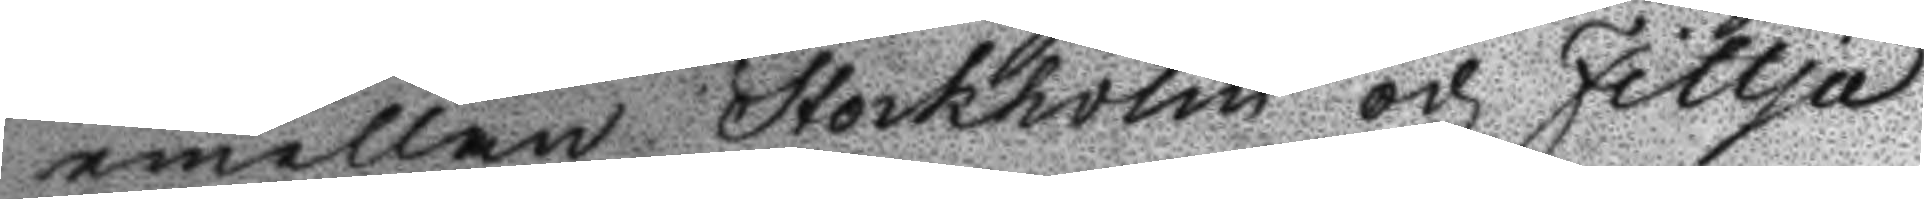emellan Stockholm och Fittja
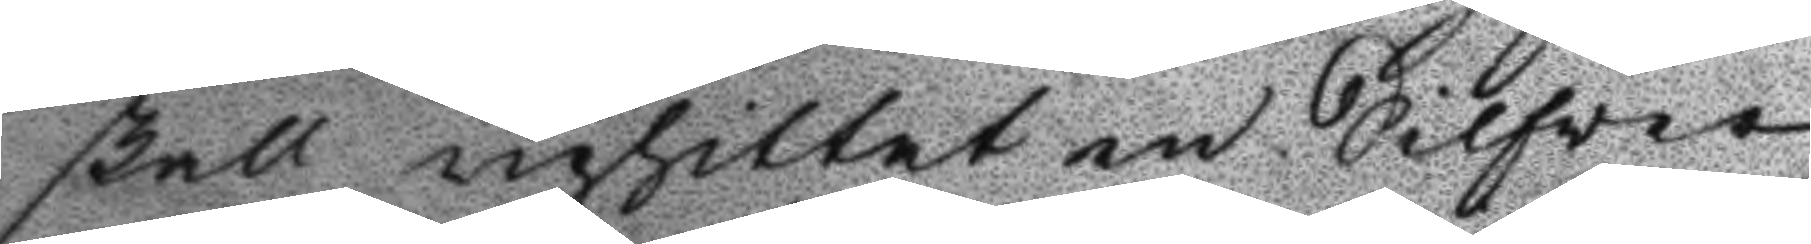skall uphittat en Silfver
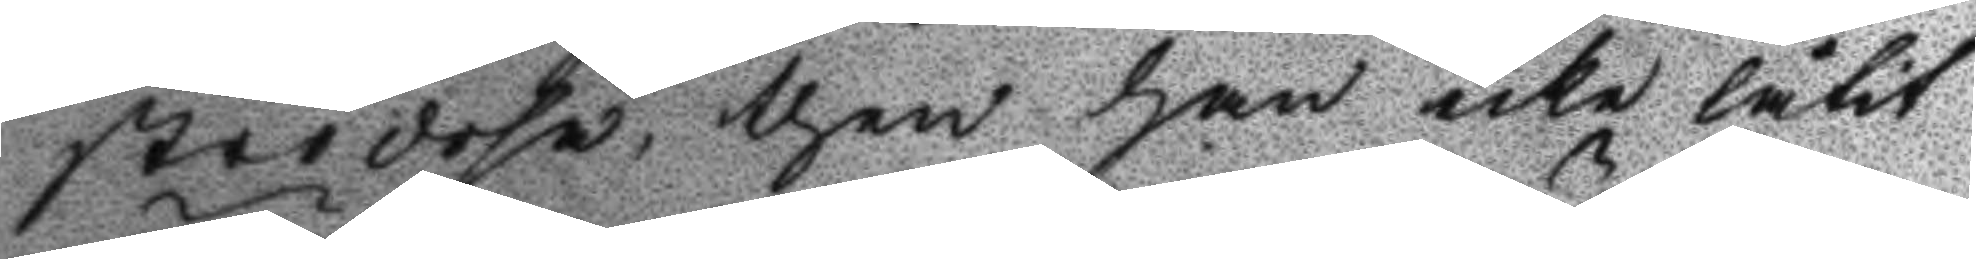strödosa, then han icke låtit
